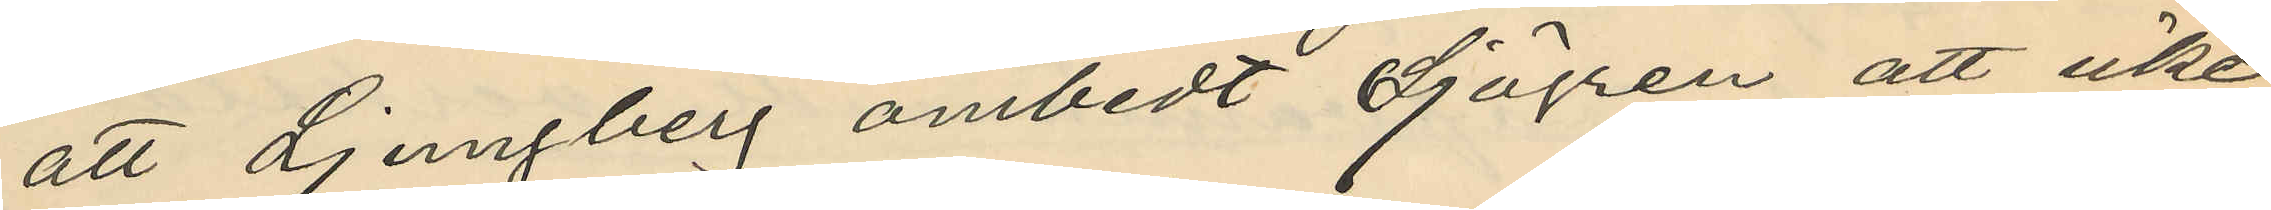att Ljungberg ombedt Sjögren att icke
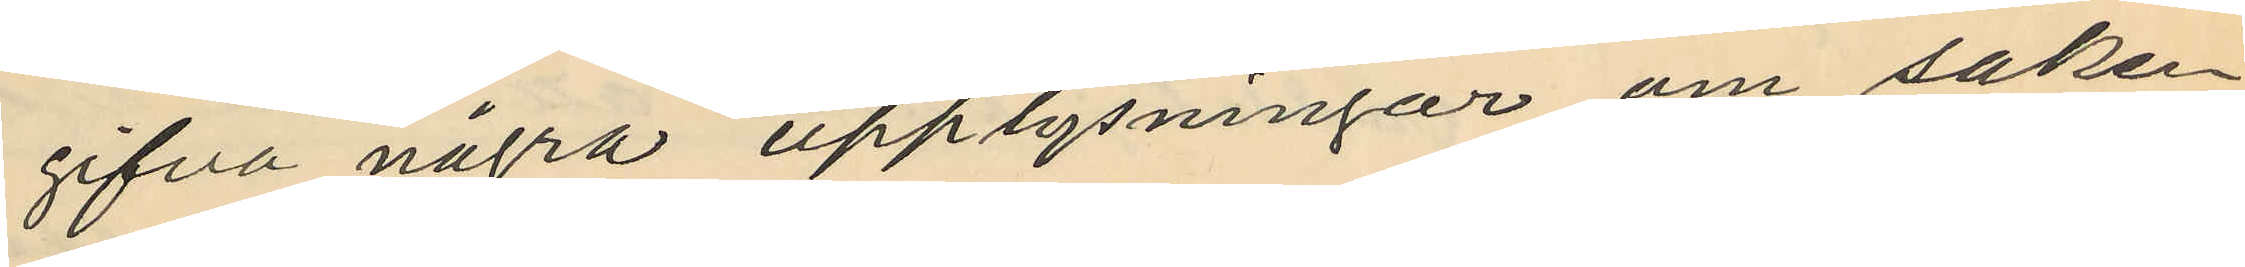gifva några upplysningar om saken
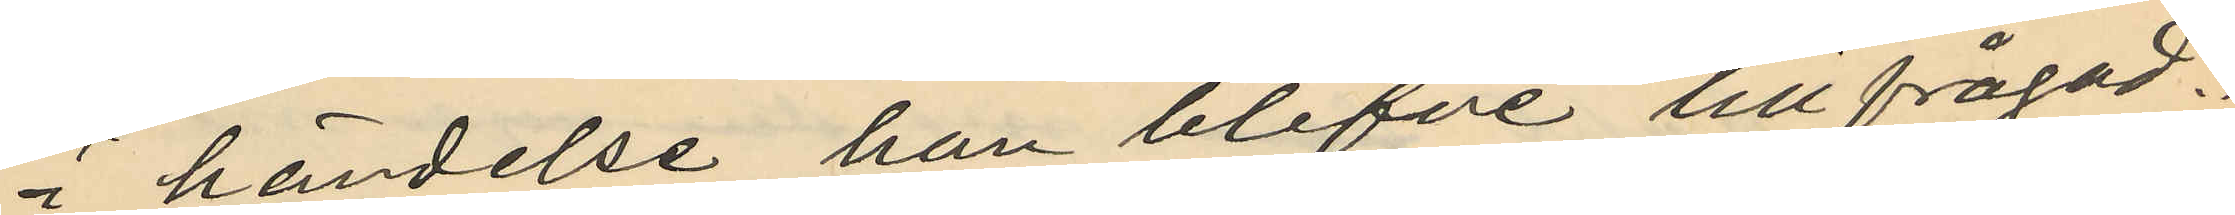i händelse han blefve tillfrågad.
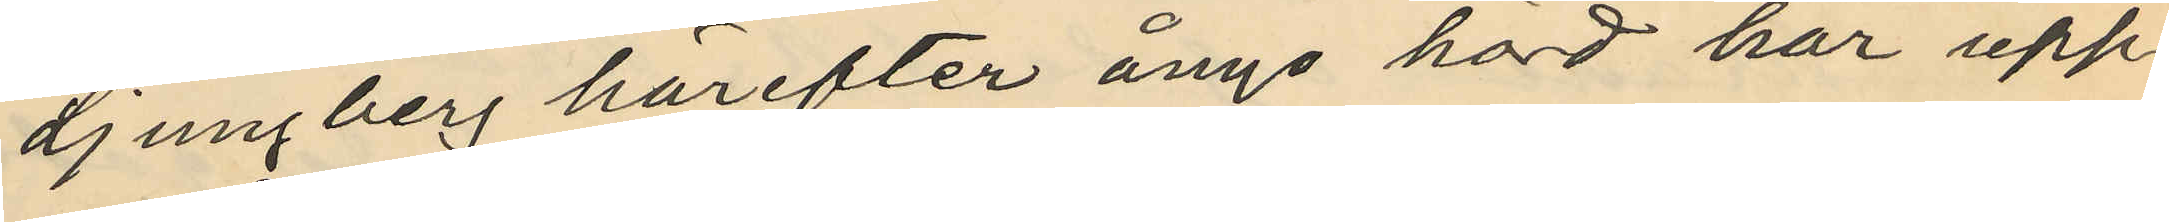Ljungberg härefter ånyo hörd har upp¬
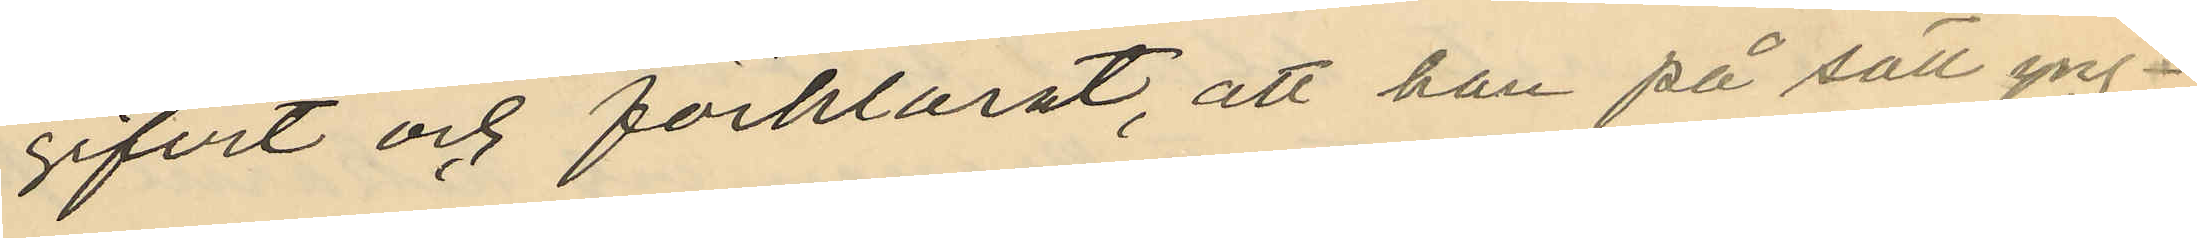gifvit och förklarat, att han på sätt yng¬
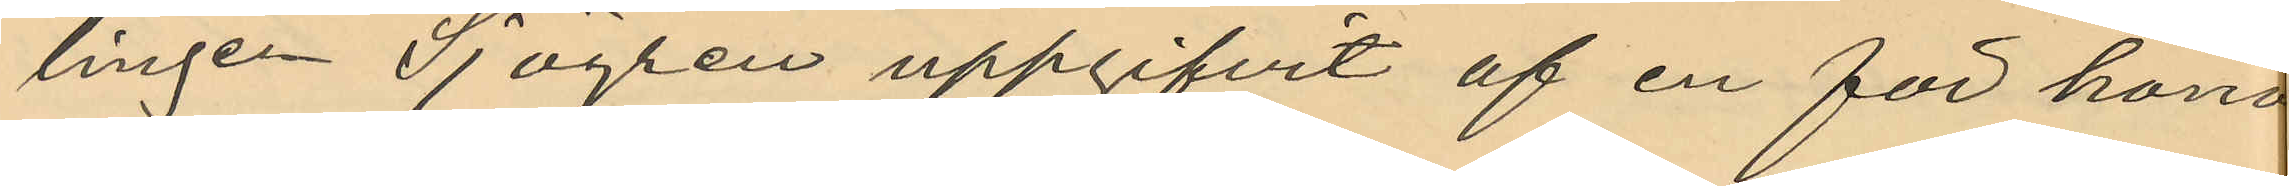lingen Sjögren uppgifvit af en för hono
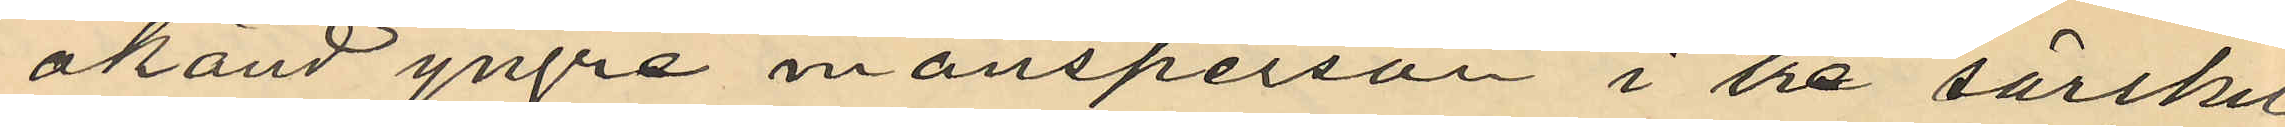okänd yngre mansperson i tre särskil
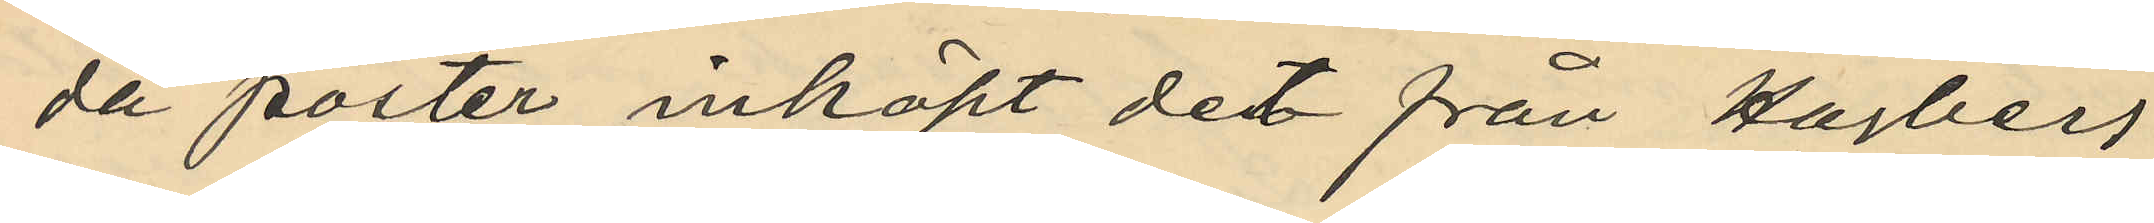da poster inköpt det från Hagberg
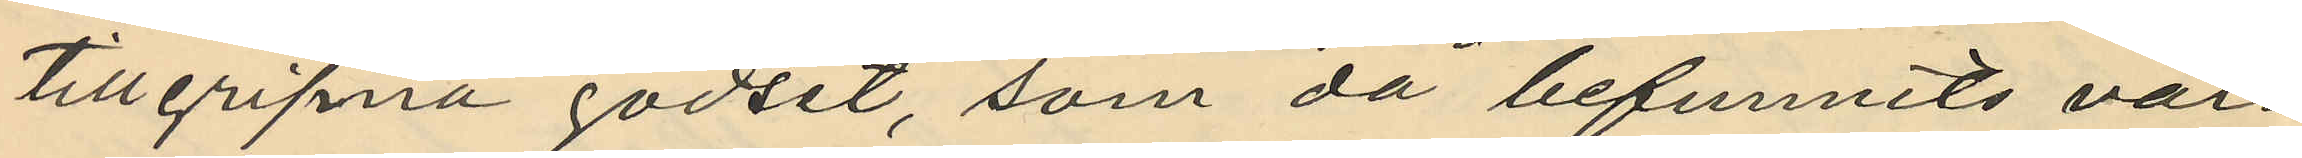tillgripna godset, som då befunnits vara
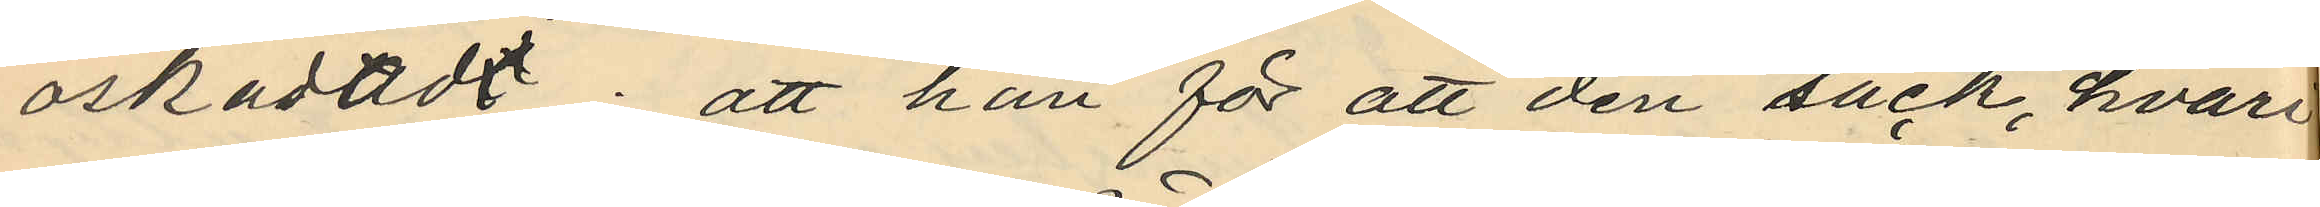oskadadt; att han för att den säck, hvari
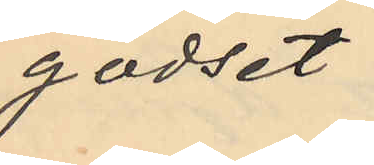godset
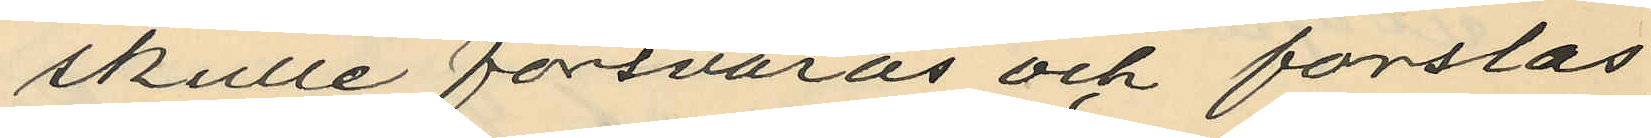skulle försvaras och forslas
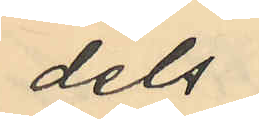dels
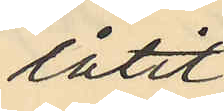låtit
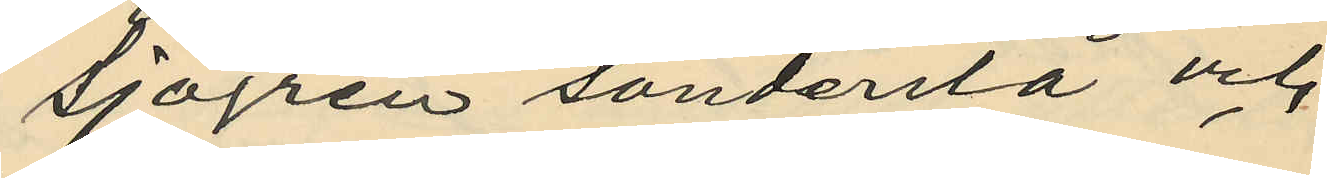Sjögren sönderslå och
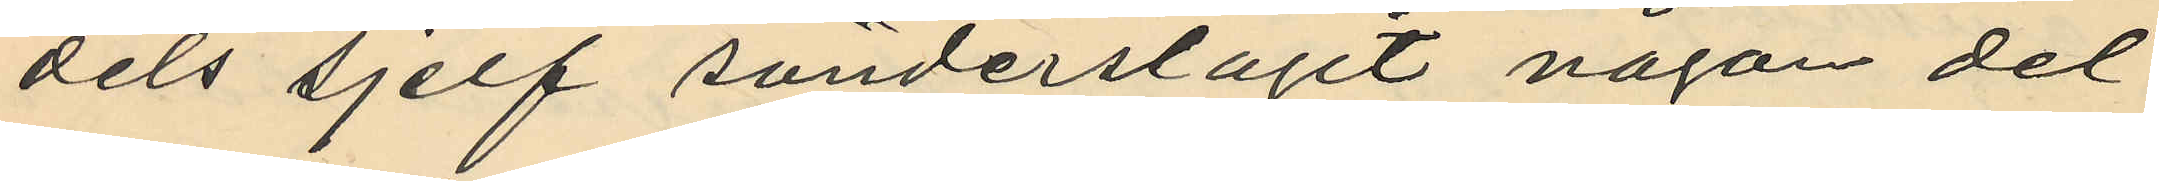dels sjelf sönderslagit någon del
